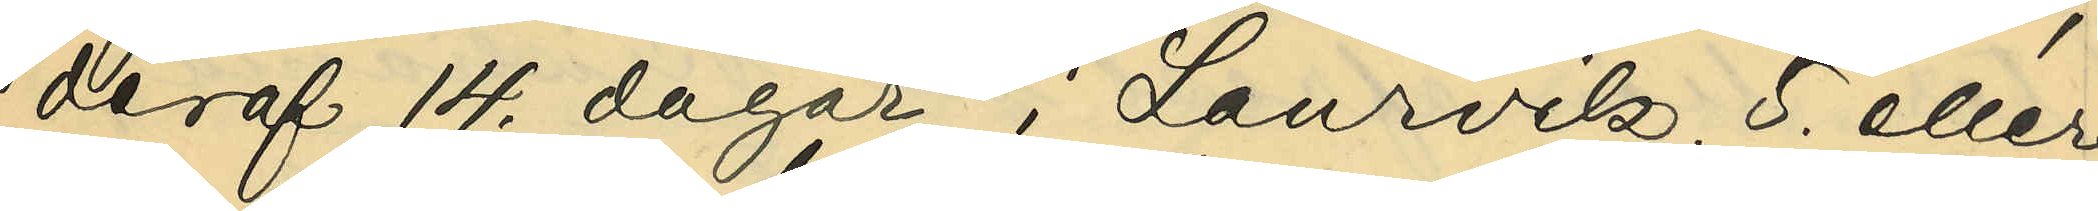deraf 14 dagar i Laurvik, 5. eller
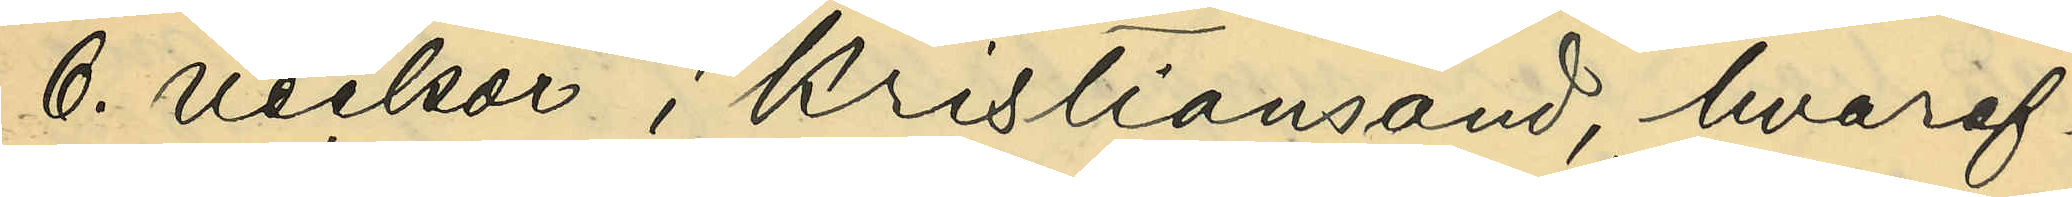6. veckor i Kristiansand, hvaref¬
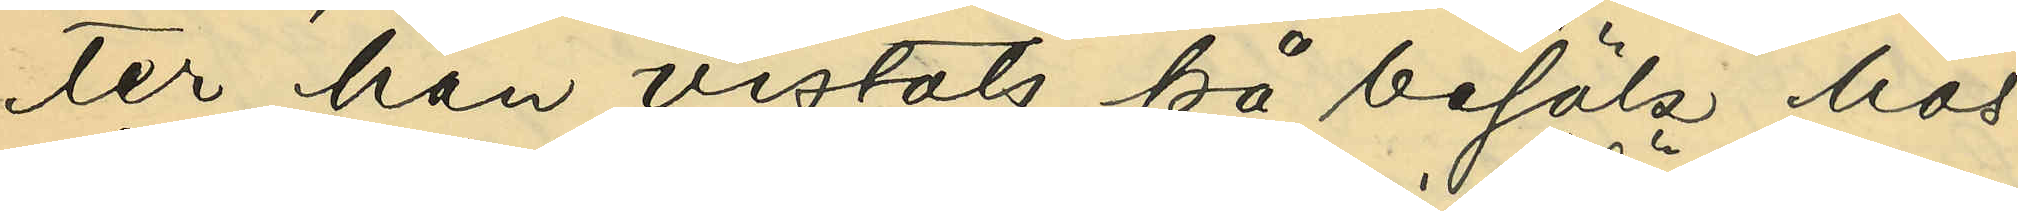ter han vistats på besök hos
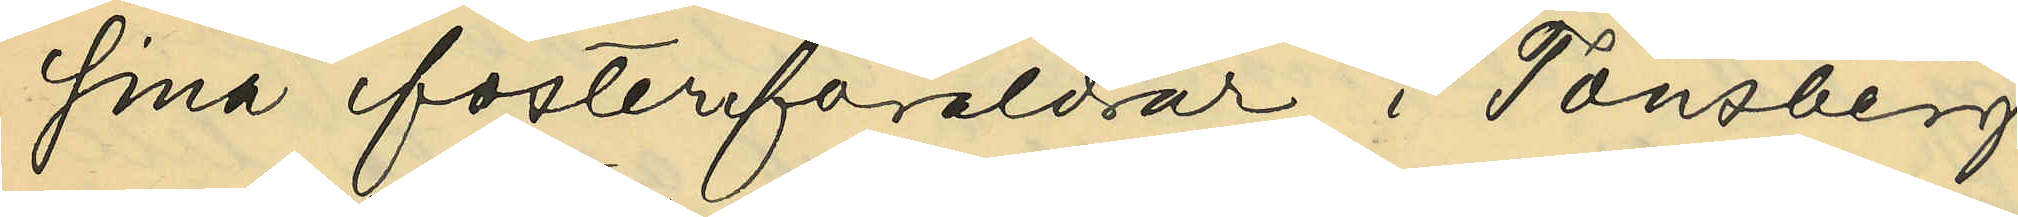sina fosterföräldrar i Tönsberg
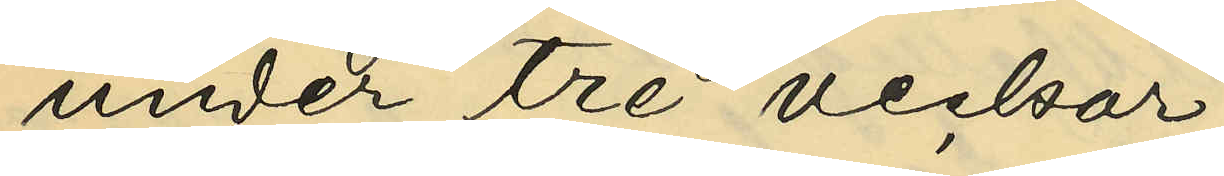under tre veckor;
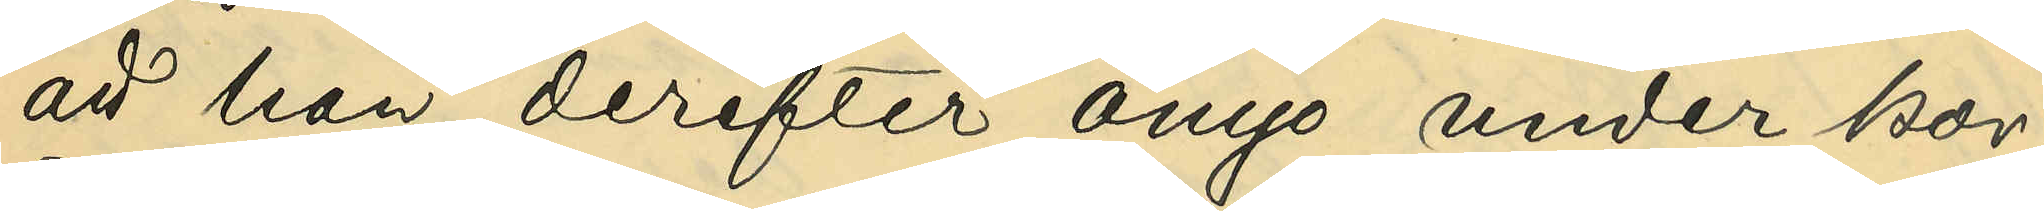att han derefter ånyo under kor¬
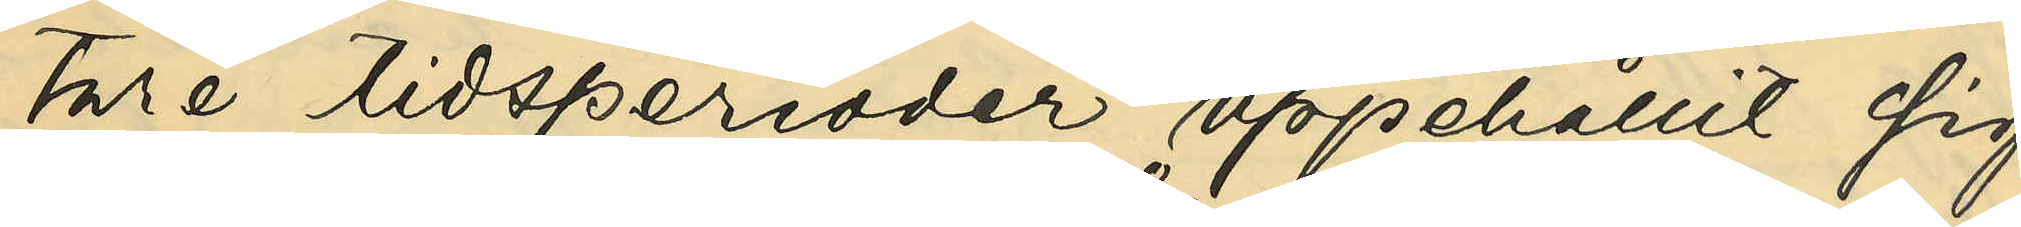tare tidsperioder uppehållit sig
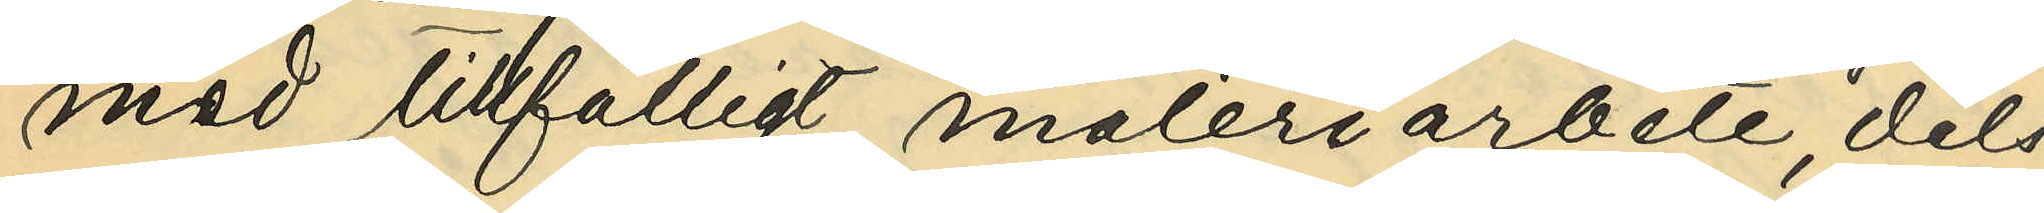med tillfälligt måleriarbete, dels
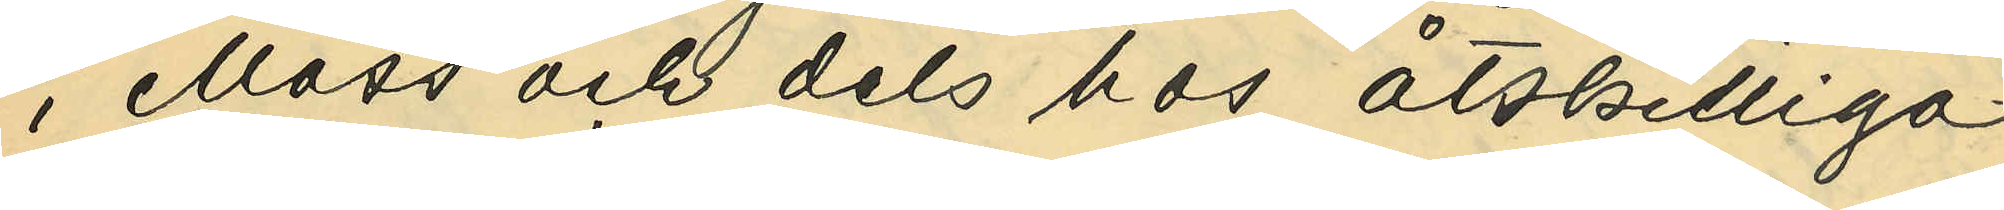i Moss och dels hos åtskilliga
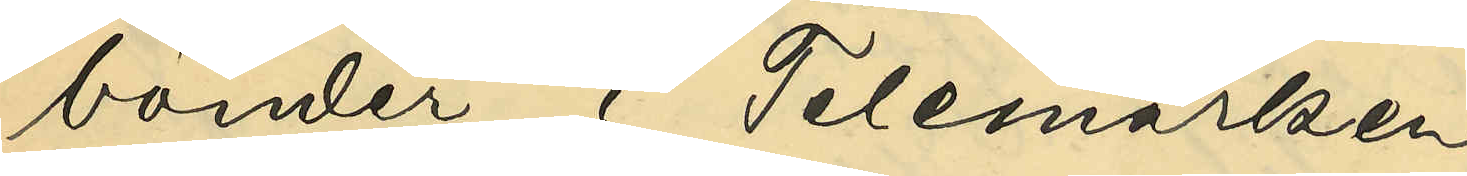bönder i Telemarken;
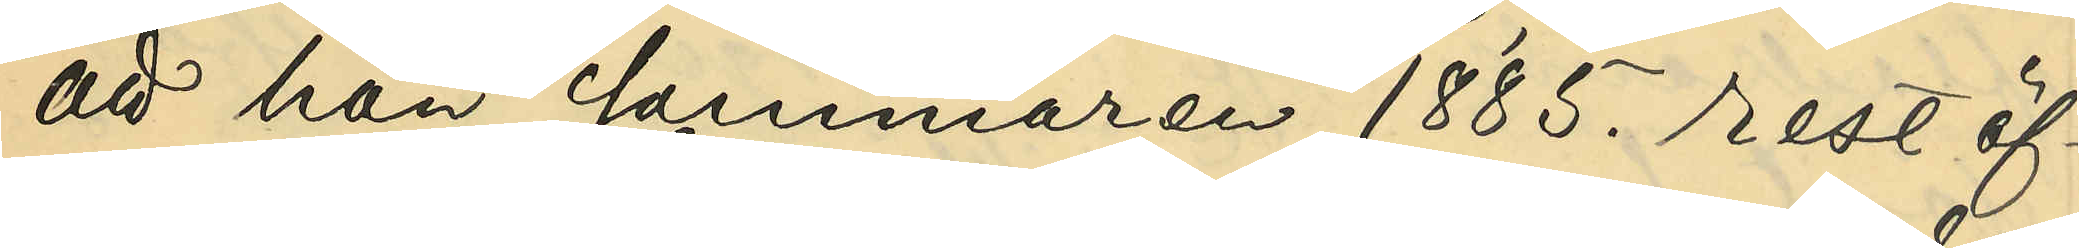att han sommaren 1885. rest öf¬
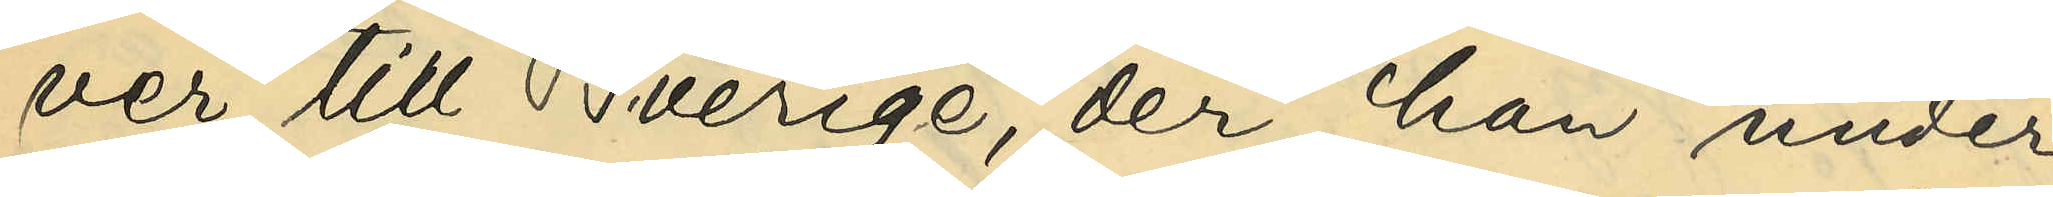ver till Sverige, der han under
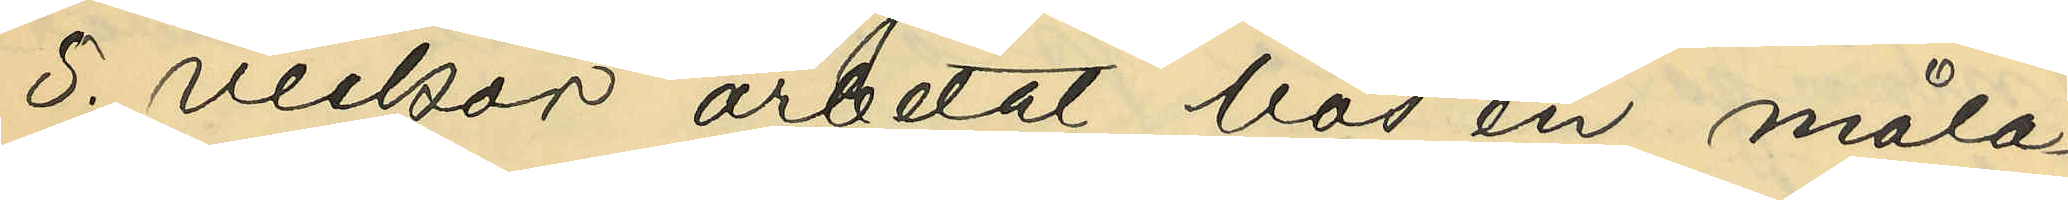5. veckor arbetat hos en måla¬
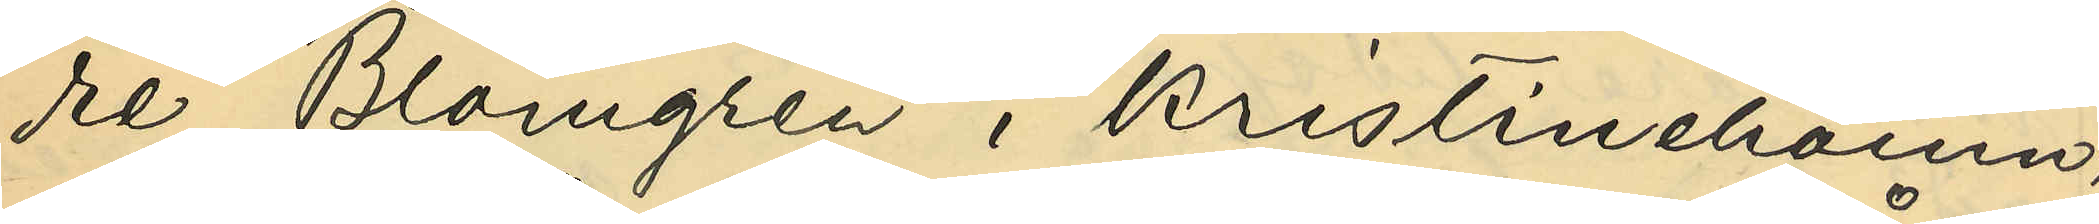re Blomgren i Kristinehamn,
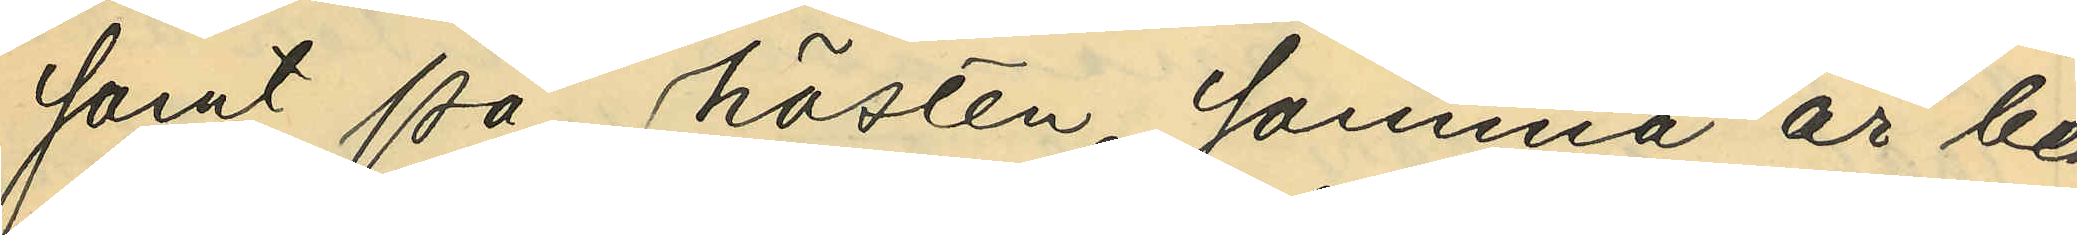samt på hösten samma år be¬
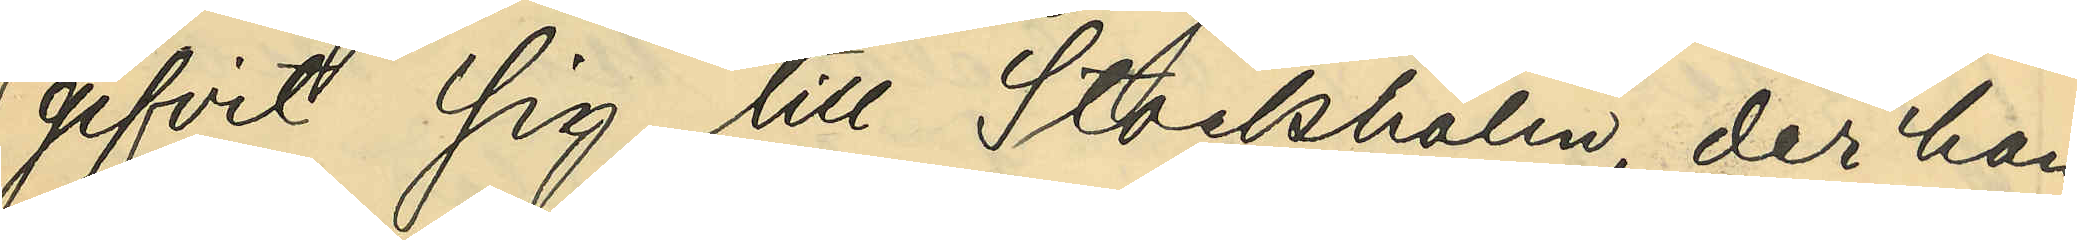gifvit sig till Stockholm, der han
